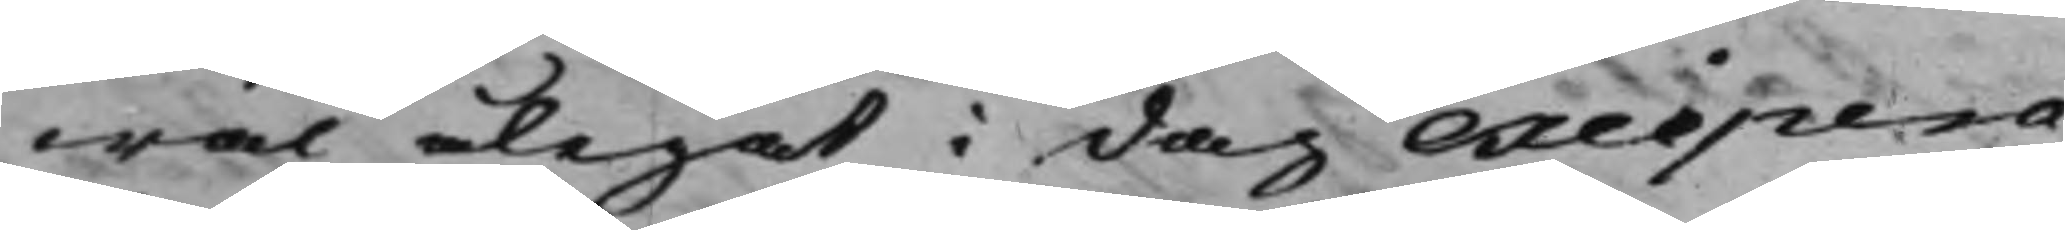wäl ålegat i dag excipera
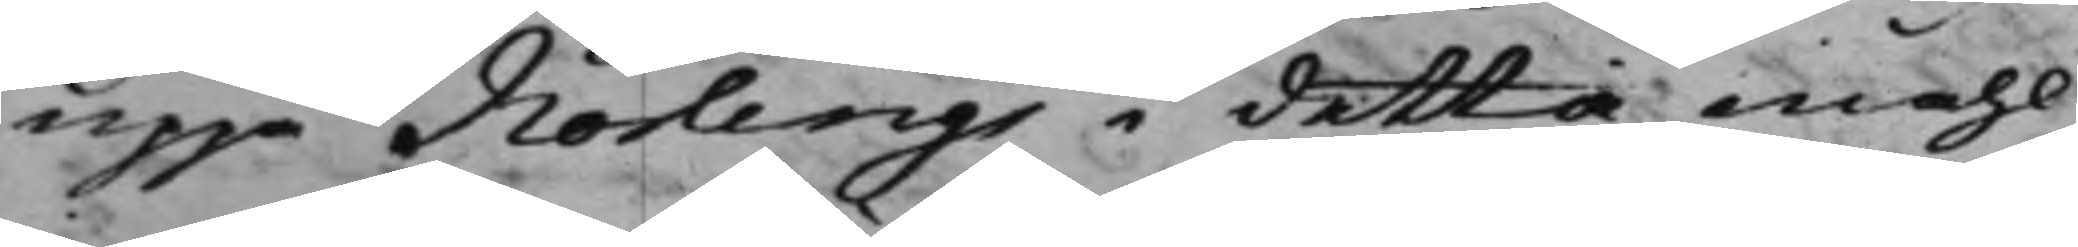uppå Norlings i detta måhl
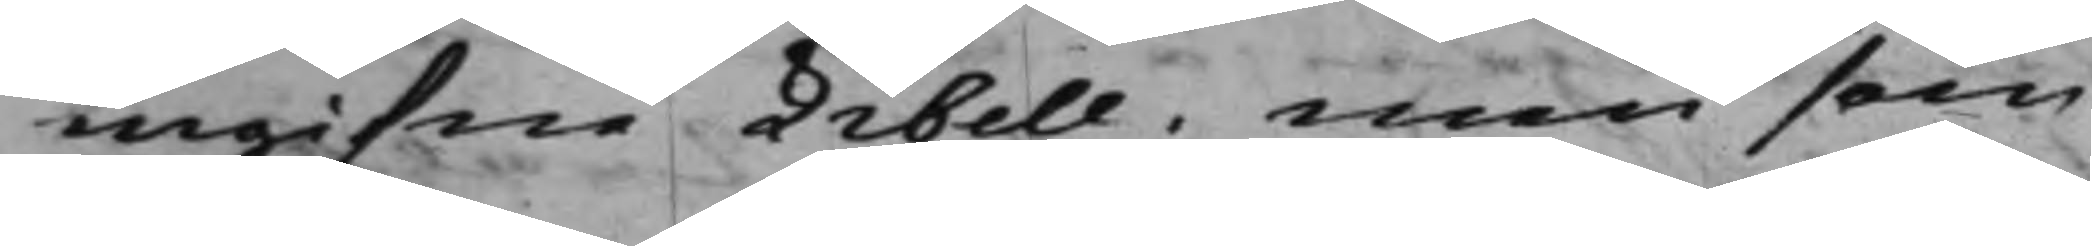ingifne Libell; men som
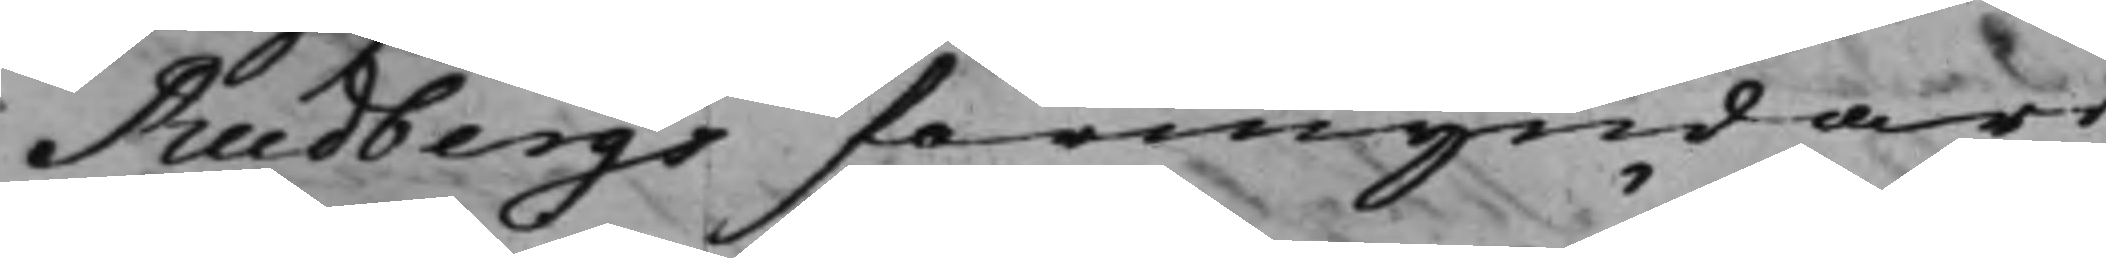Rudbergs förmyndare
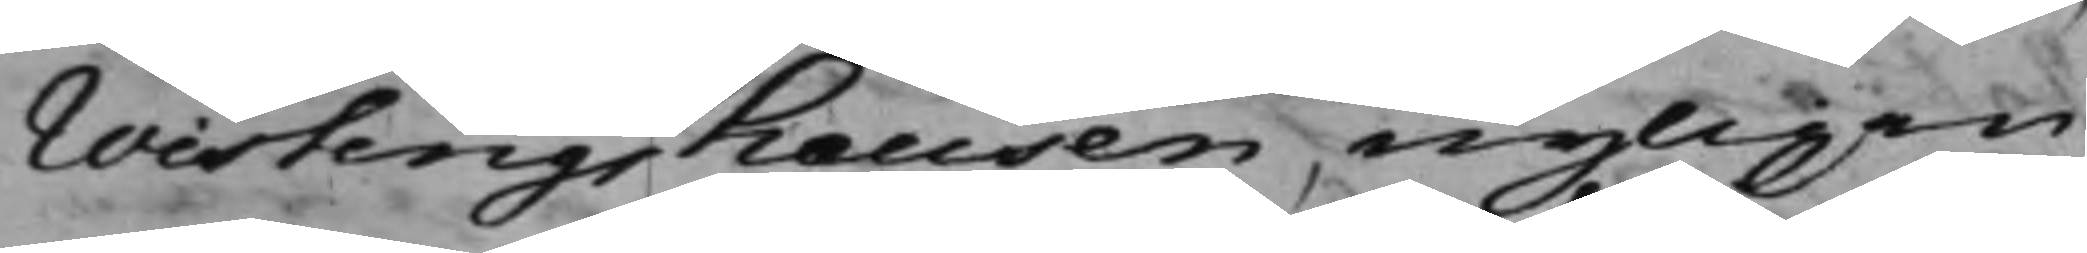Wisterigshausen nyligen
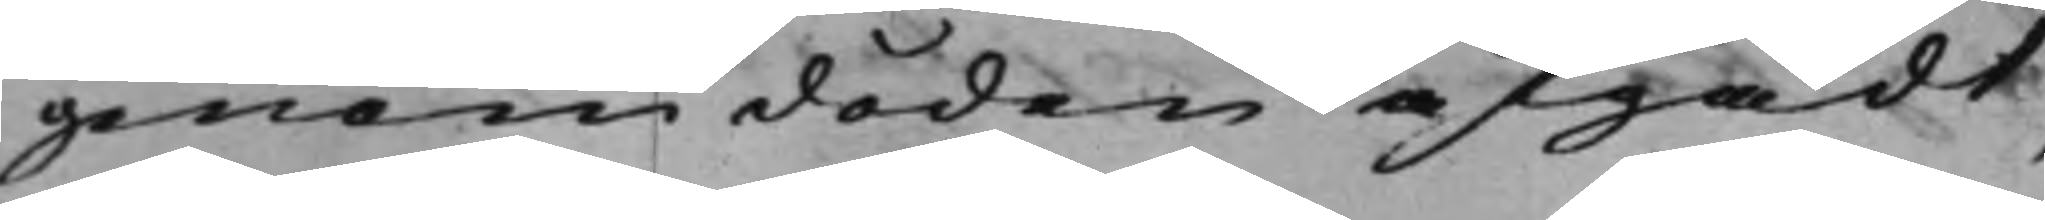genom döden afgådt,
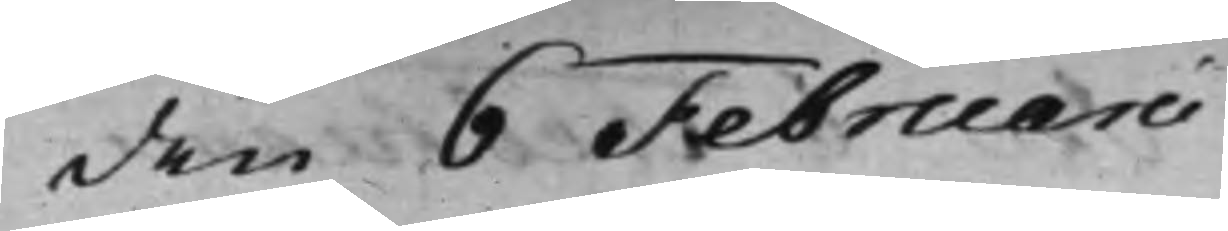den 6 Februarii
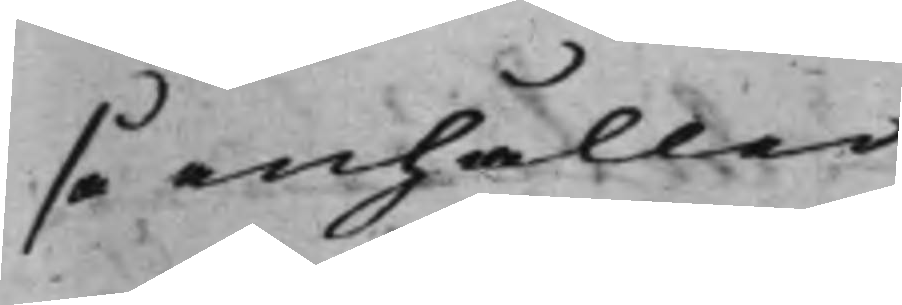så anhåller
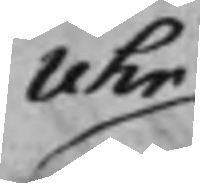Uhr
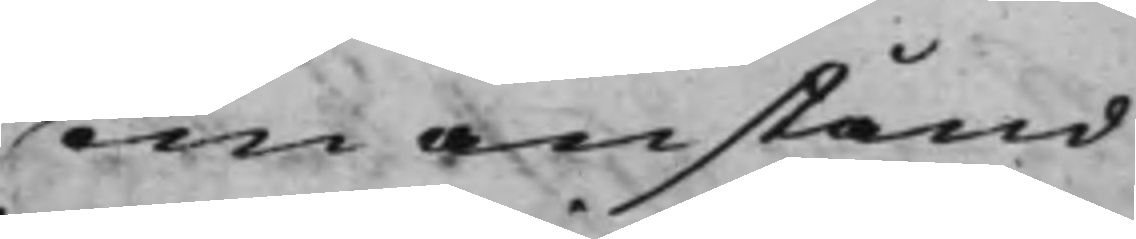om anstånd
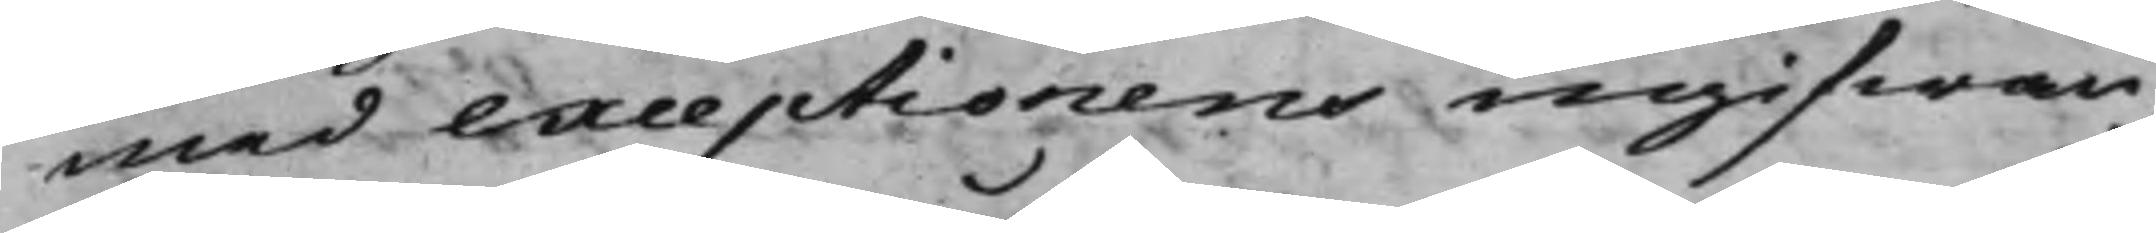med exceptionens ingifwan¬
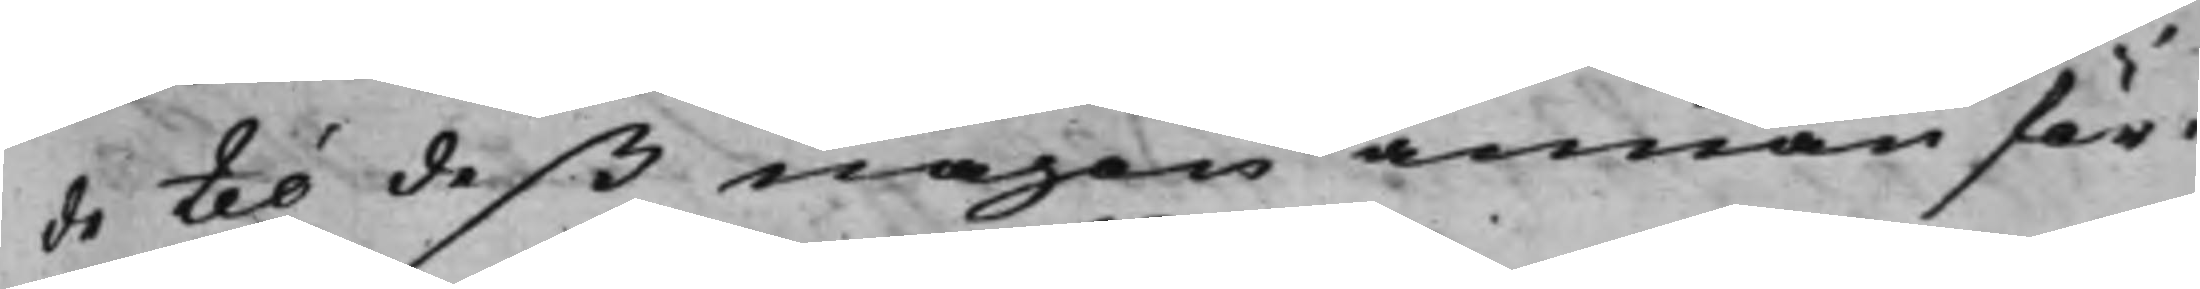de til deß någon annan för¬
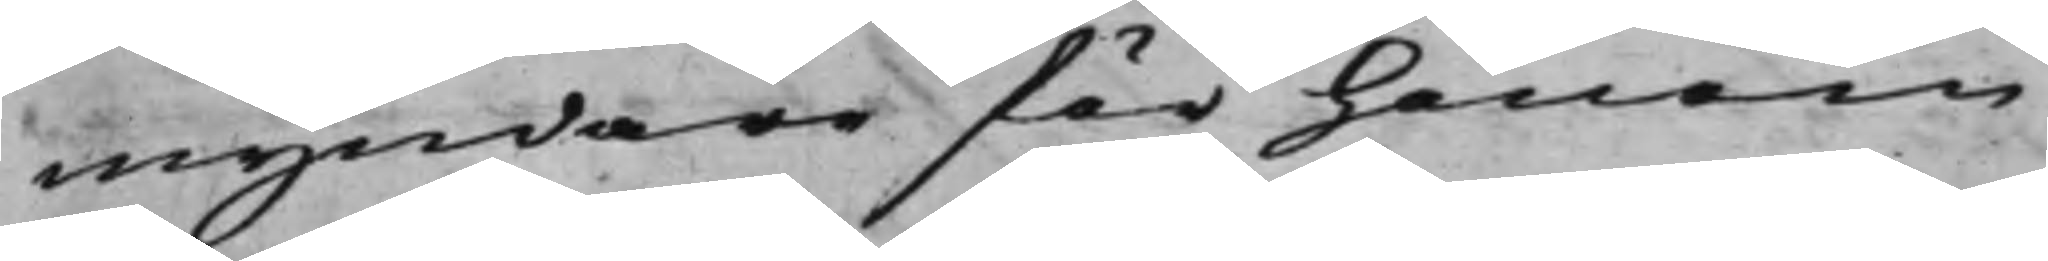myndare för honom
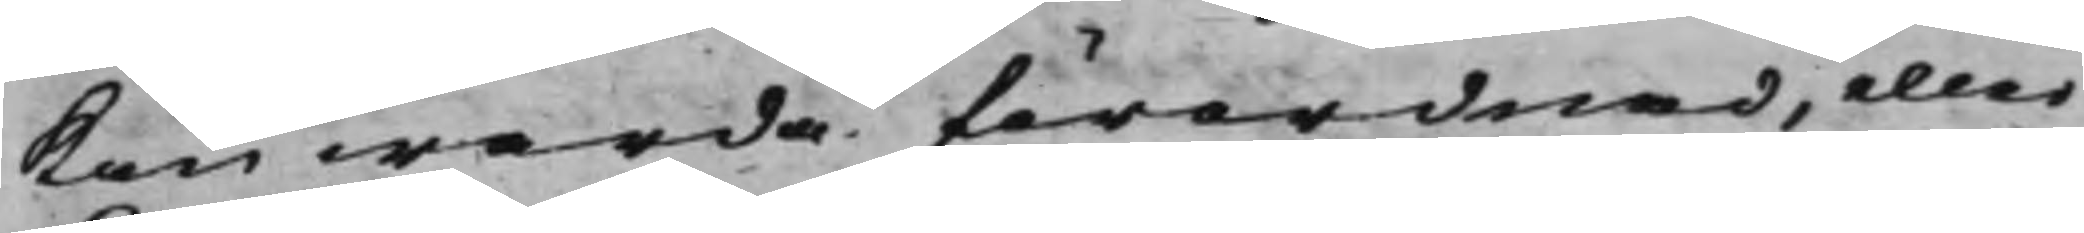kan warda förordnad, eller
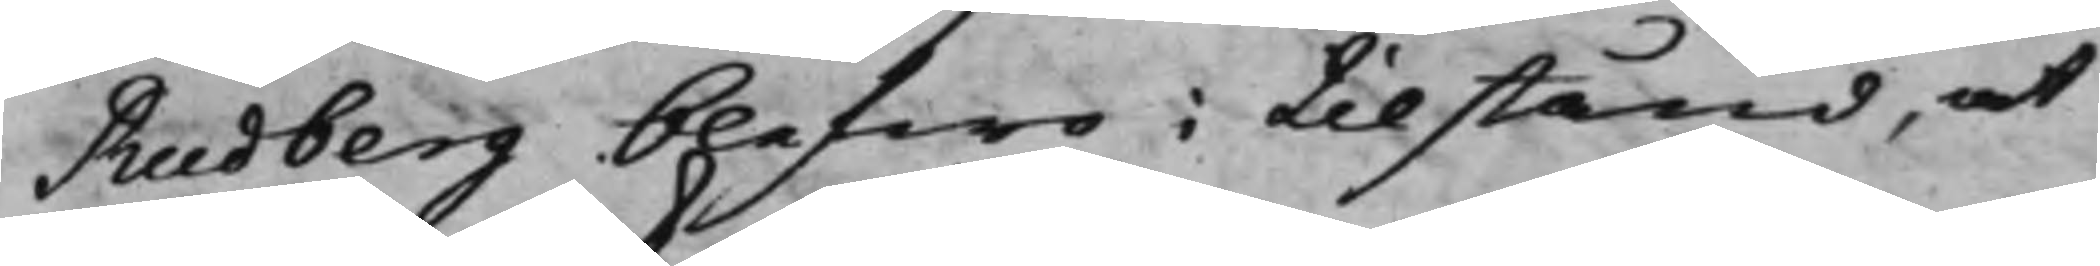Rudberg blefwo i tillstånd, at
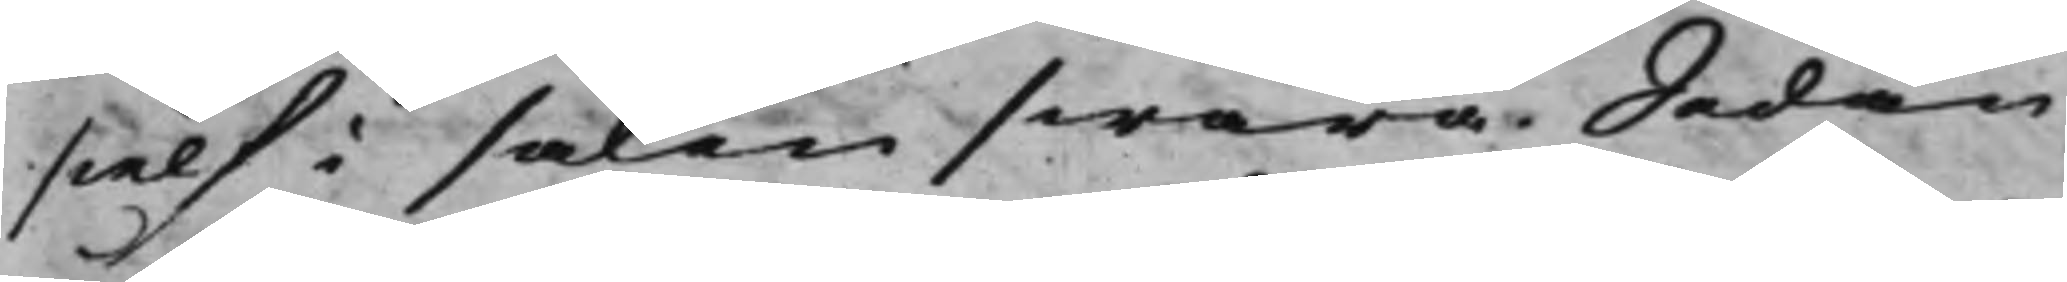sielf i saken swara. Sedan
